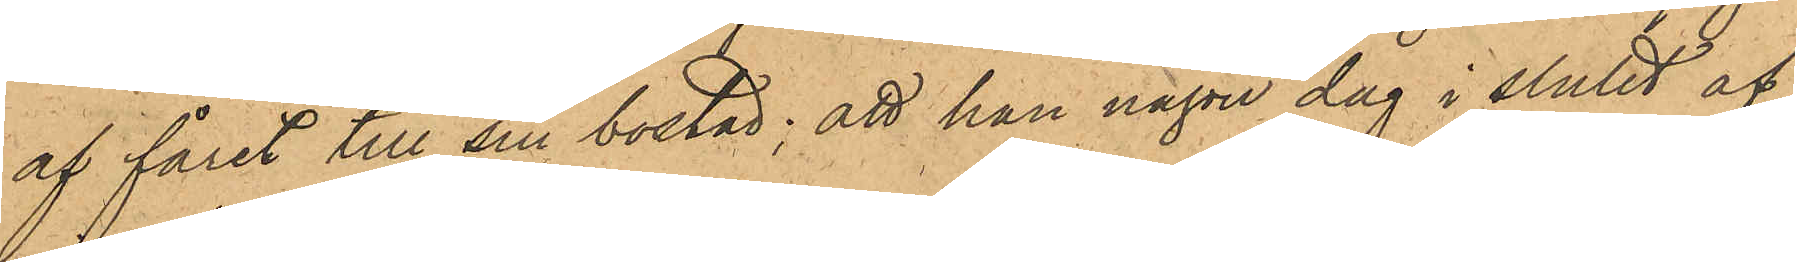af fåret till sin bostad; att han någon dag i slutet af
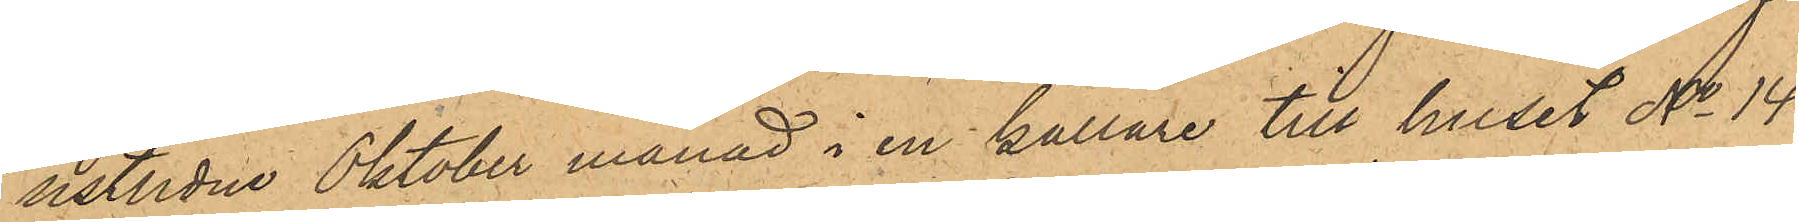sistlidne Oktober månad i en källare till huset No 14
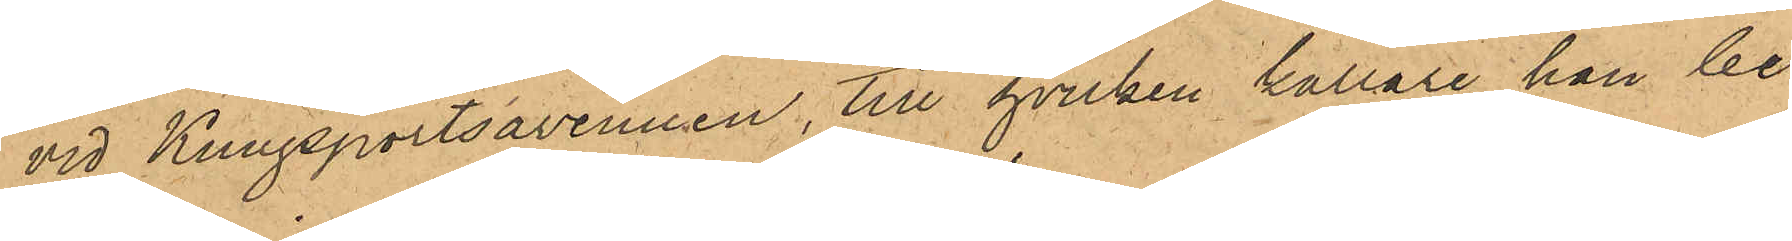vid Kungsportsavenuen, till hvilken källare han be¬
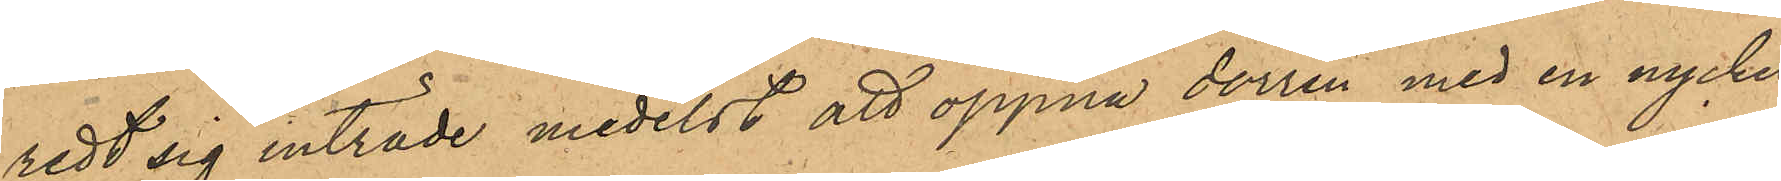redt sig inträde medelst att öppna dörren med en nyckel
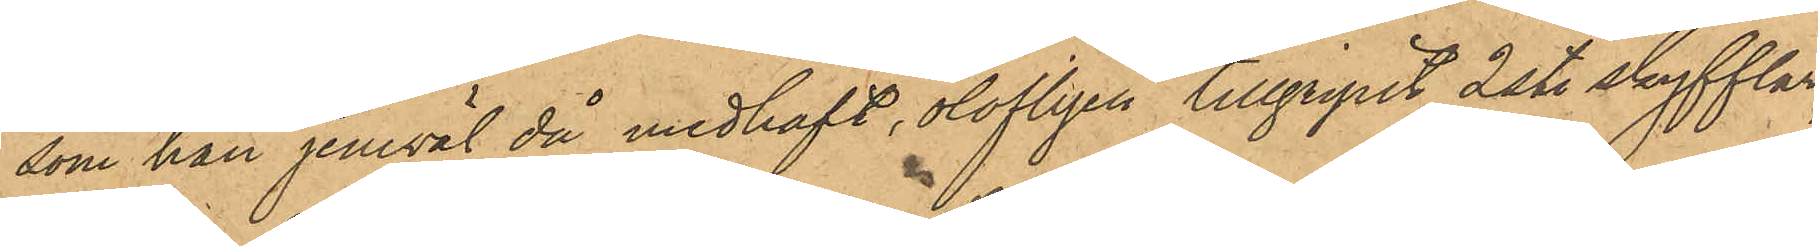som han jemväl då medhaft, olofligen tillgripit 2 st. skyfflar,
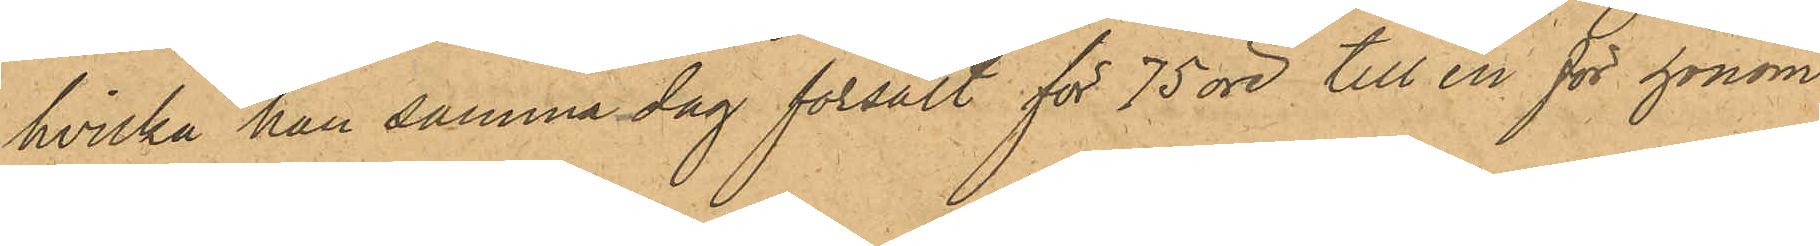hvilka han samma dag försålt för 75 öre till en för honom
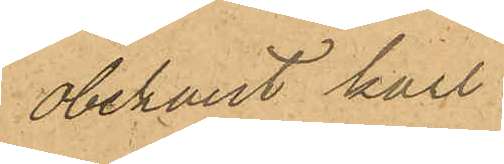obekant karl.
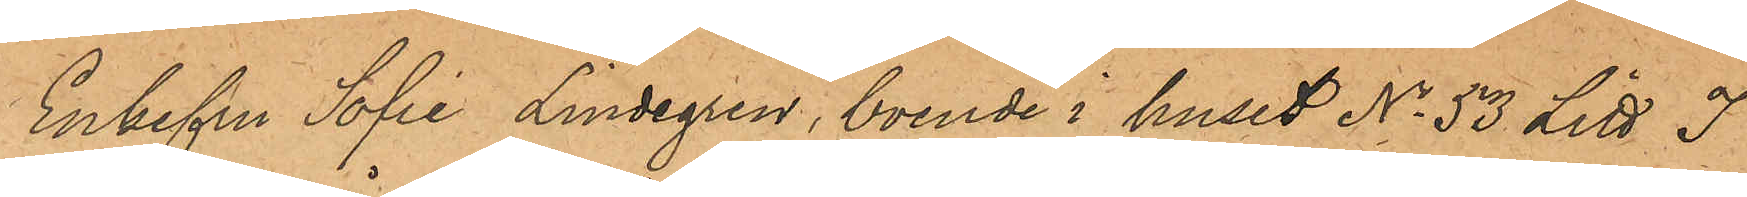Enkefru Sofie Lindegren, boende i huset No 53 Litt I
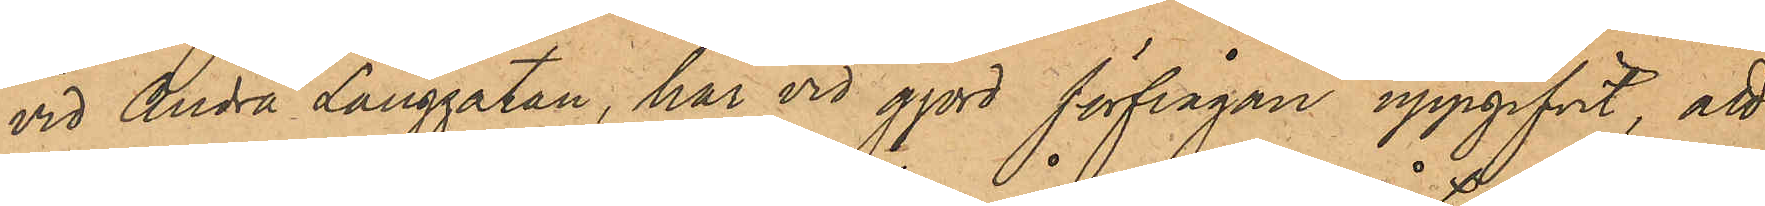vid Andra Långgatan, har vid gjord förfrågan uppgifvit, att
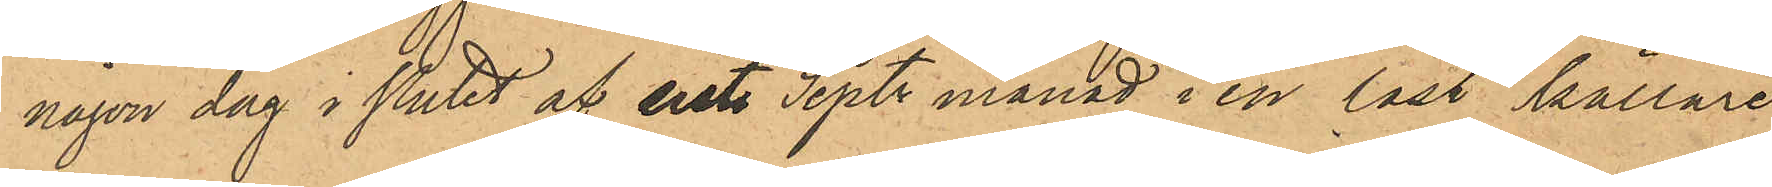någon dag i slutet af sist. Sept. månad i en låst källare
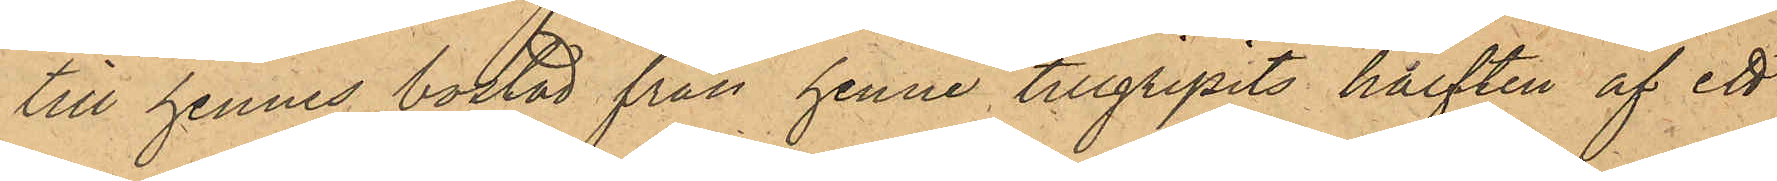till hennes bostad från henne tillgripits hälften af ett
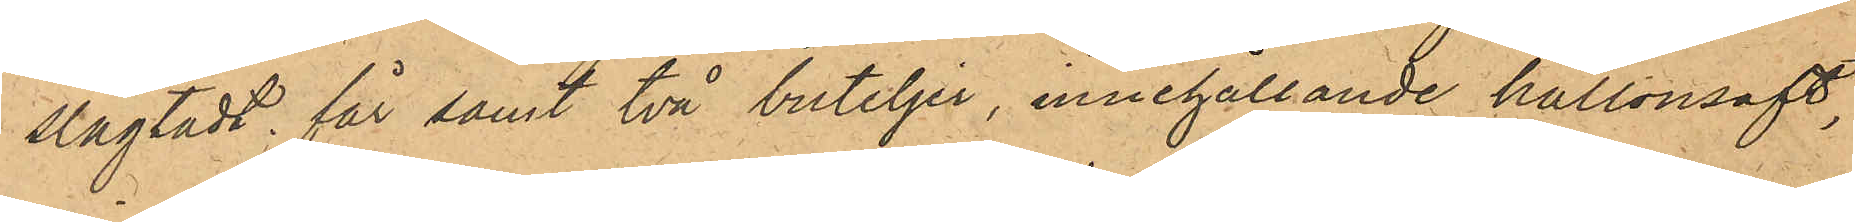slagtadt får samt två buteljer, innehållande hallonsaft,
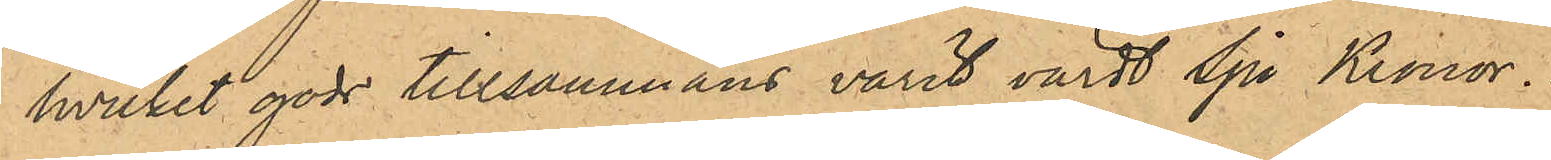hvilket gods tillsammans varit värdt Sju Kronor.
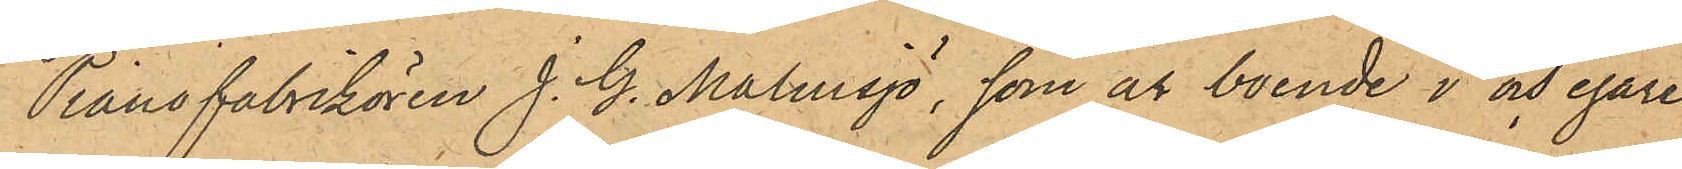Pianofabrikören J. G. Malmsjö, som är boende i och egare
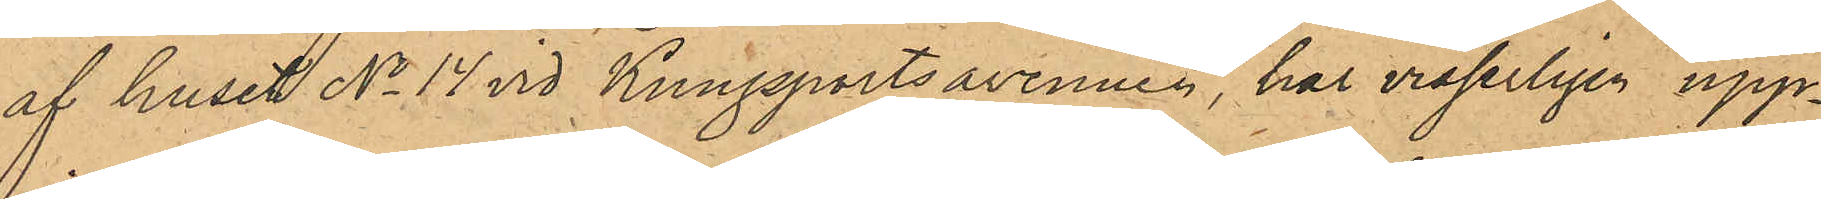af huset No 14 vid Kungsportsavenuen, har visserligen upp¬
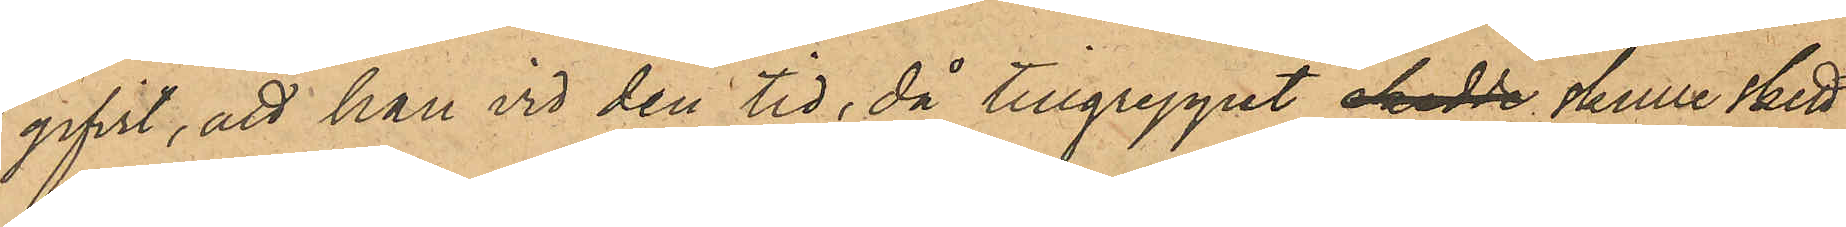gifvit, att han vid den tid, då tillgreppet skedde skulle skett,
